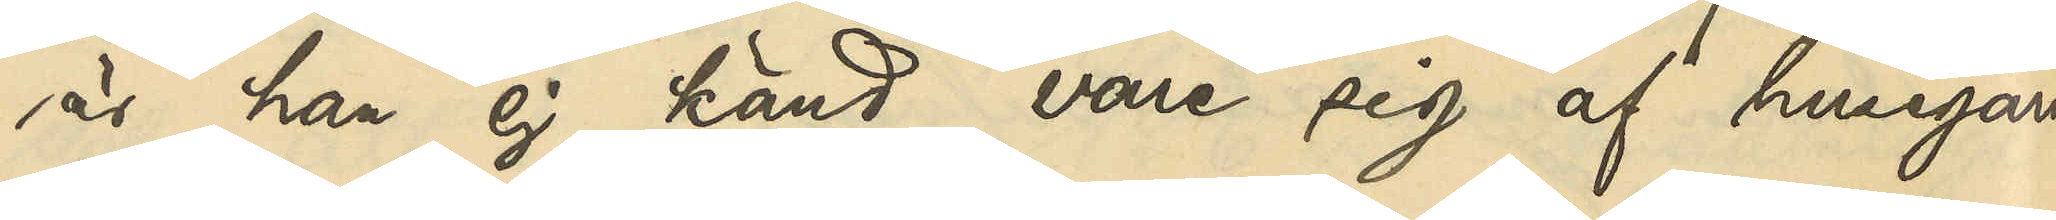är han ej känd vare sig af husegarne
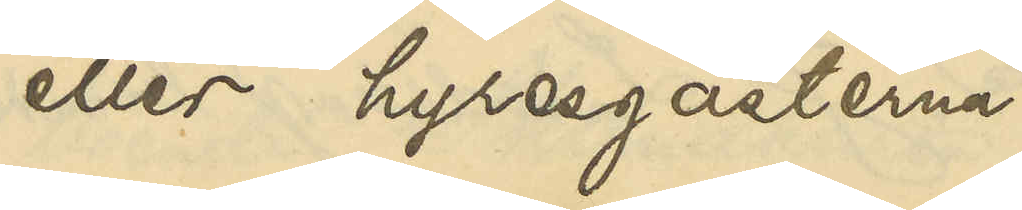eller hyresgästerna.
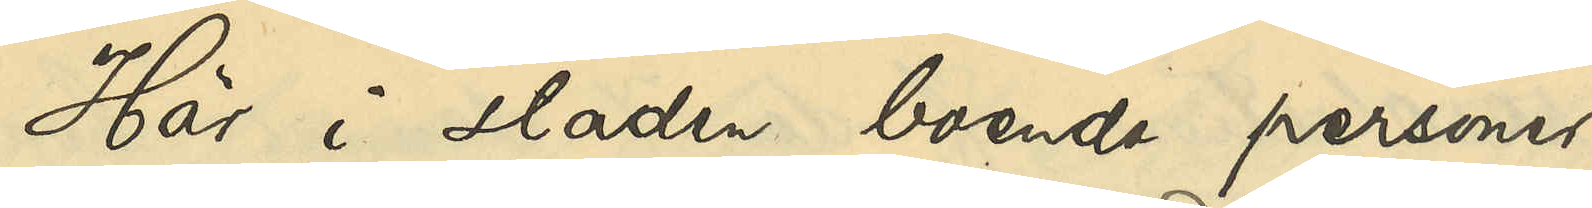Här i staden boende personer,
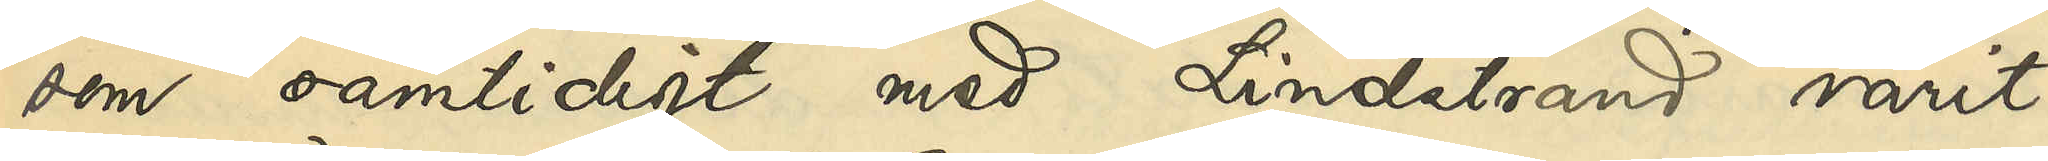som samtidigt med Lindstrand varit
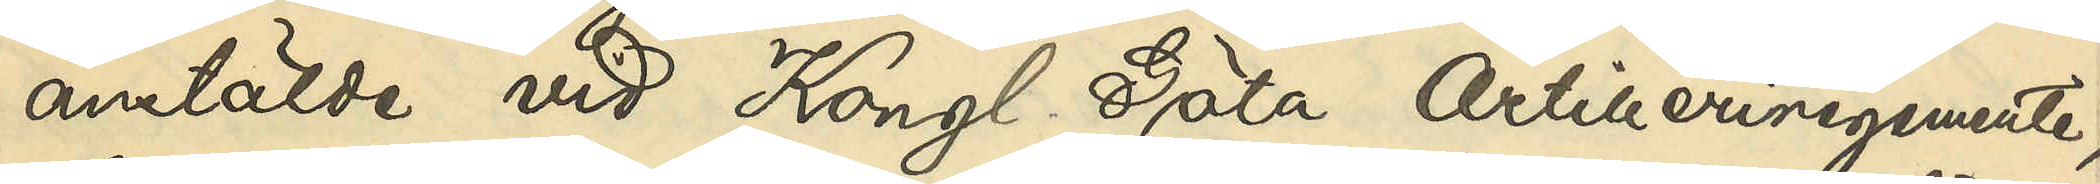anstälde vid Kongl Göta Artilleriregemente,
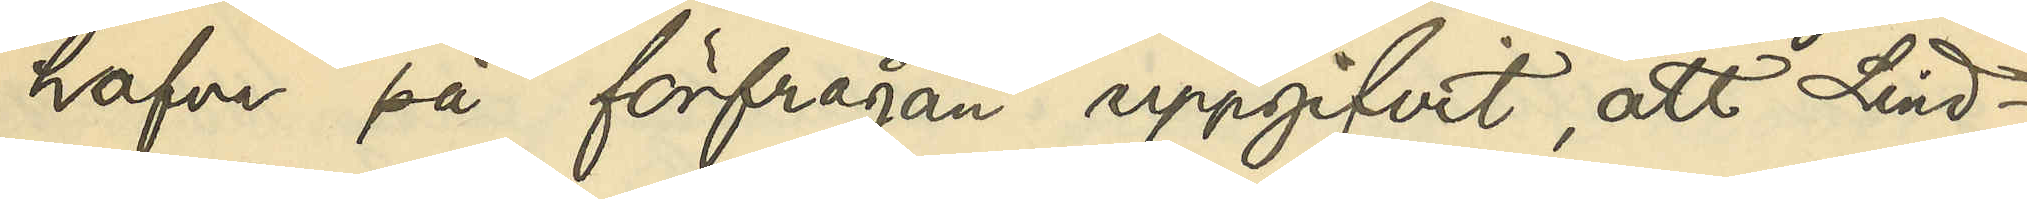hafva på förfrågan uppgifvit, att Lind¬
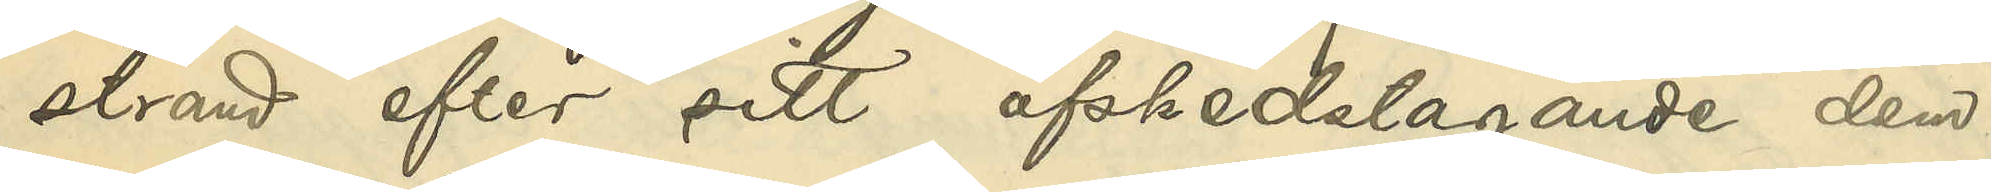strand efter sitt afskedstagande dem
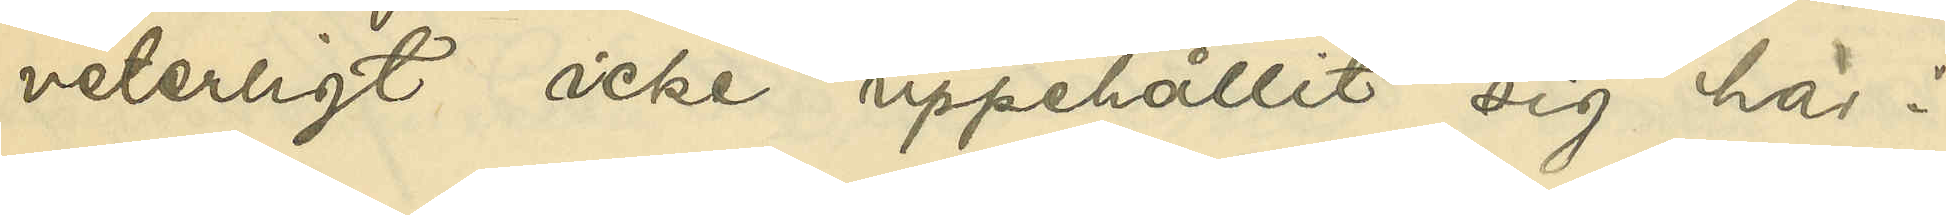veterligt icke uppehållit sig här i
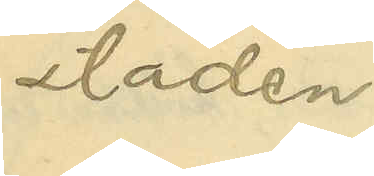staden.
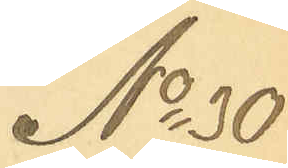No 30
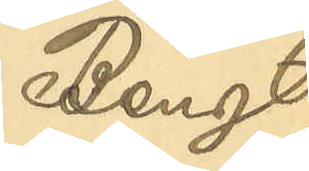Bengt
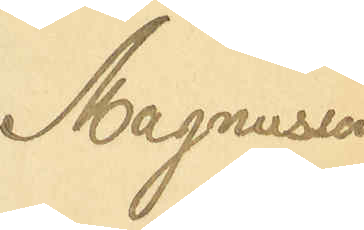Magnusson
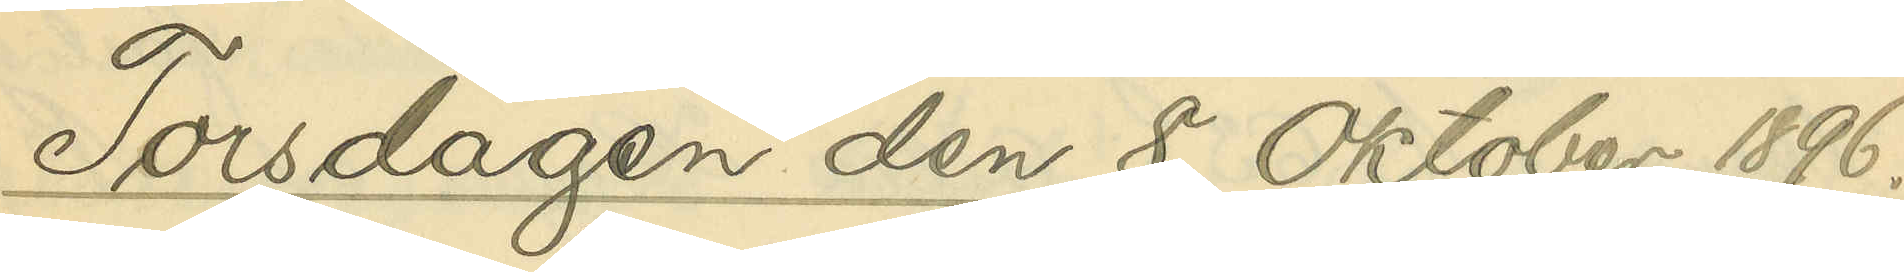Torsdagen den 8 Oktober 1896.
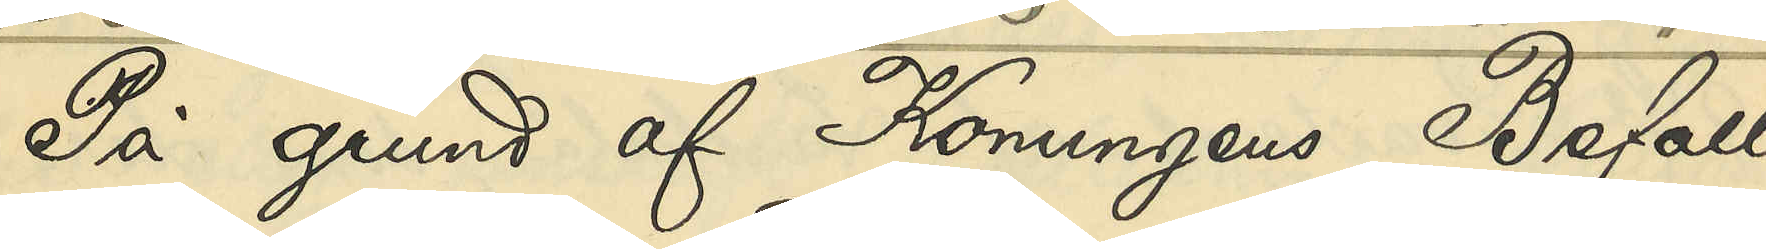På grund af Konungens Befall¬
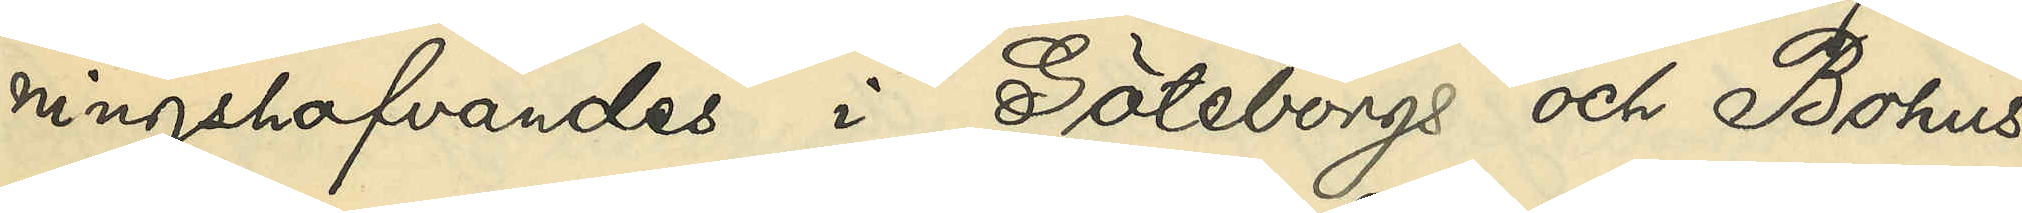ningshafvandes i Göteborgs och Bohus
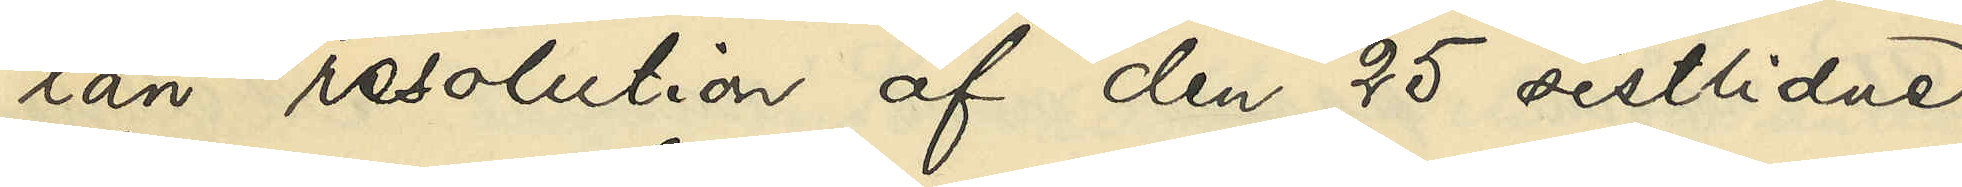län resolution af den 25 sistlidne
